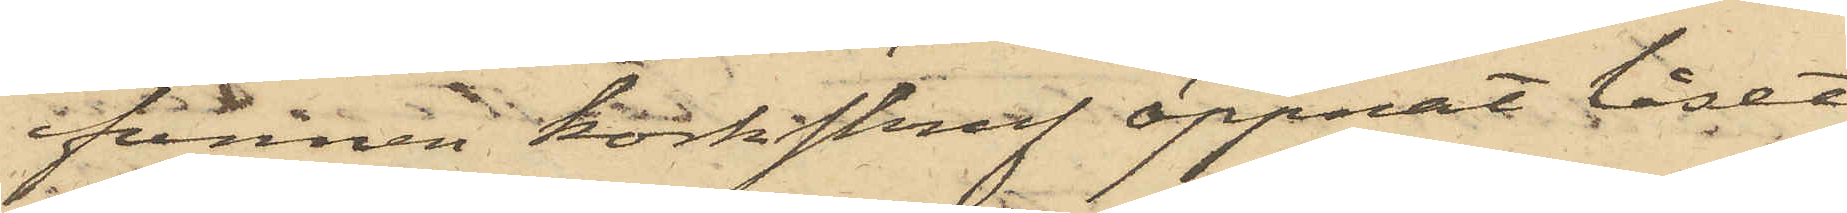funnen korkskruf öppnat låset
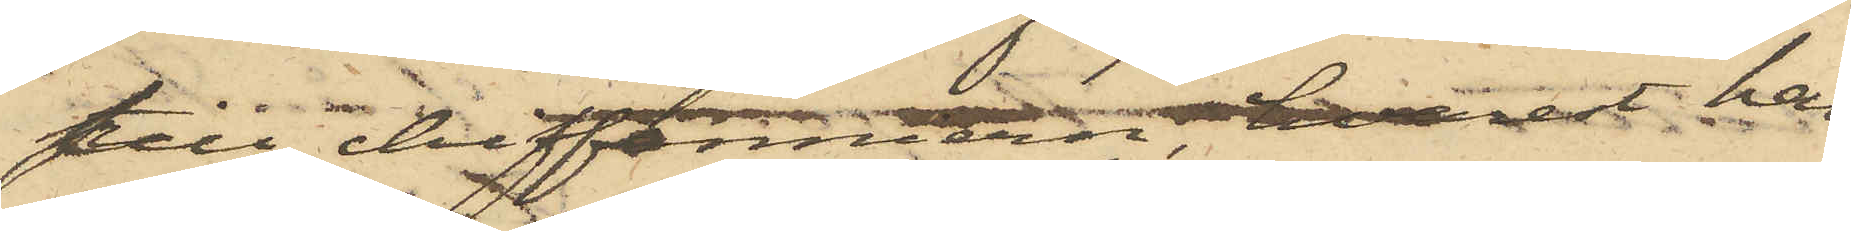till chiffonniern, hvarest han
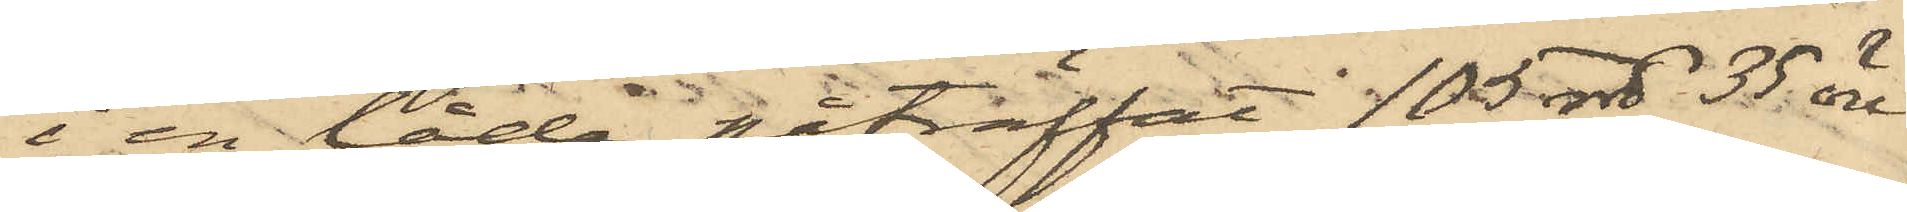i en låda påträffat 105 rdr 35 öre
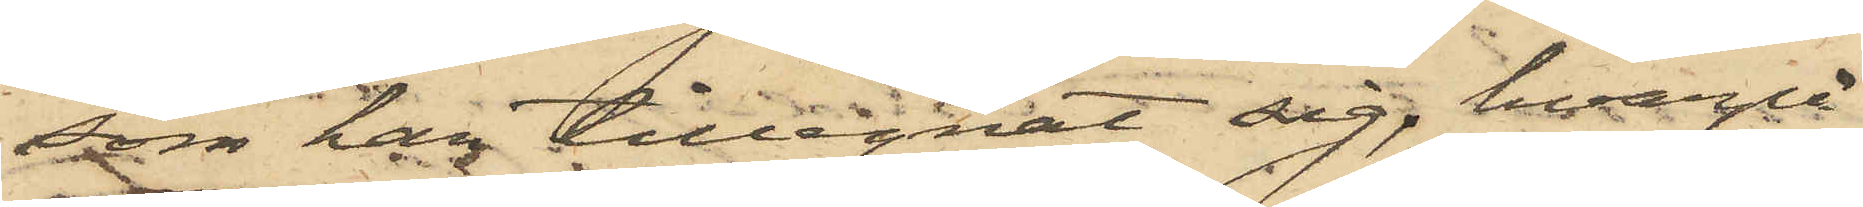som han tillegnat sig, hvarpå
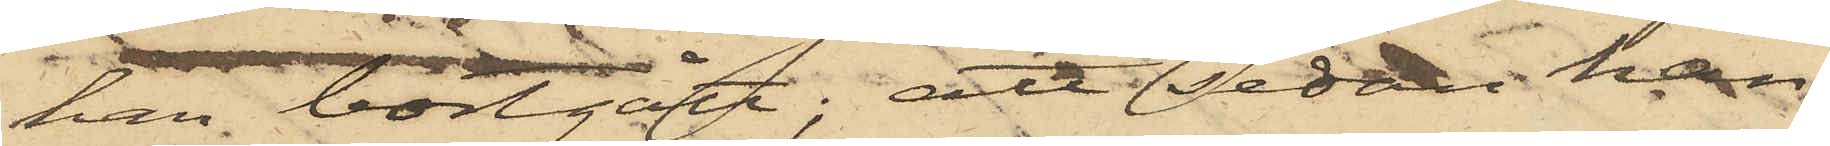han bortgått; att sedan han
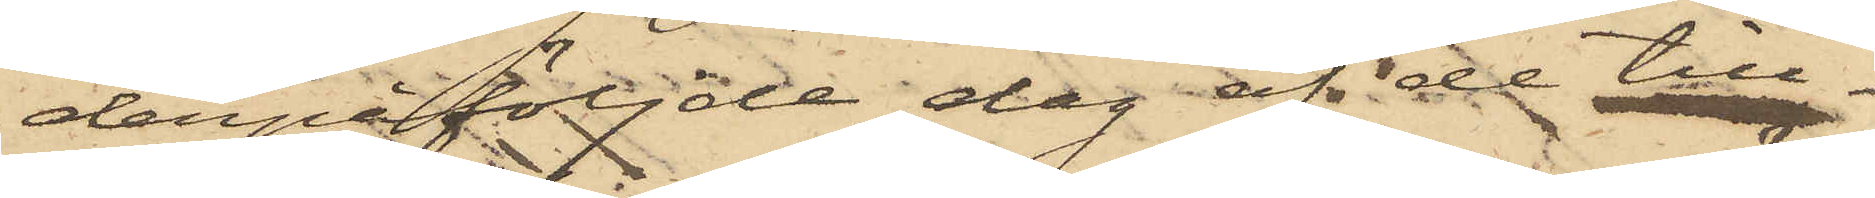derpåföljde dag af de till¬
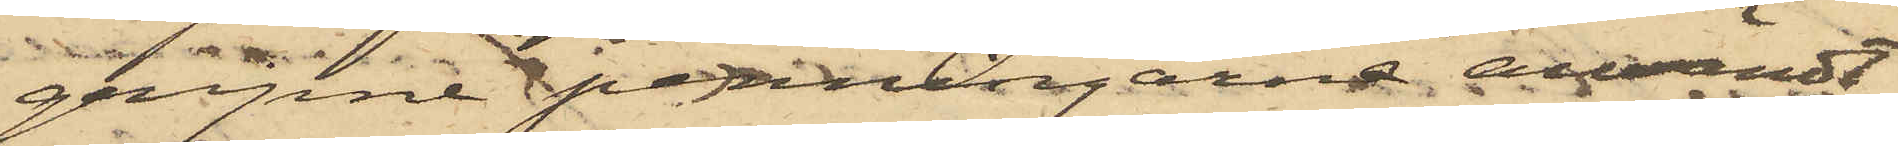gripne penningarne användt
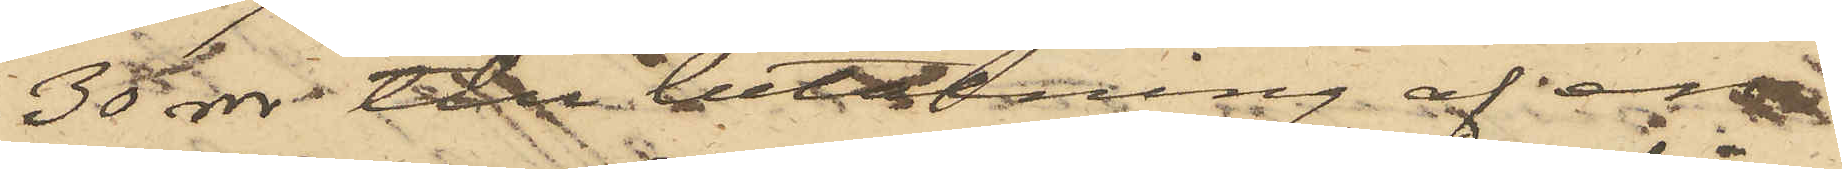30 rdr till betalning af en
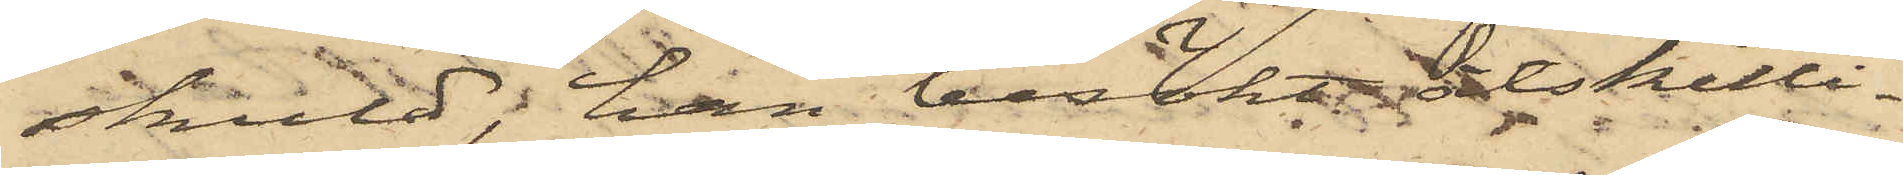skuld; han besökt åtskilli¬
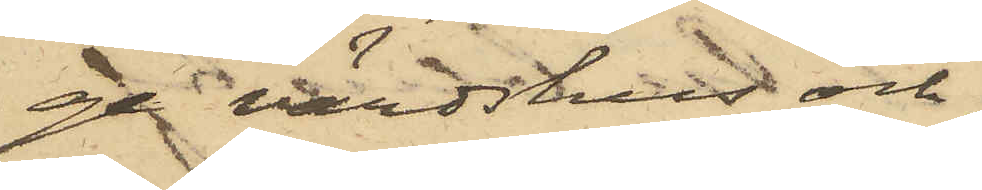ge värdshus och
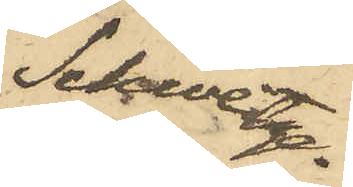Schweitze¬
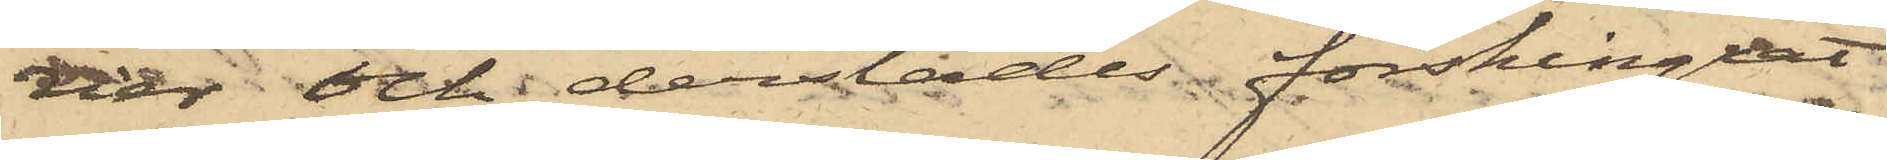rier och derstädes förskingat
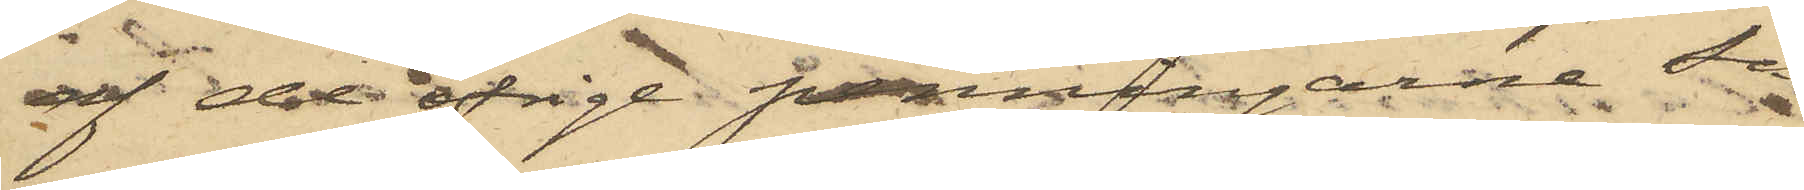af de öfrigt penningarne så
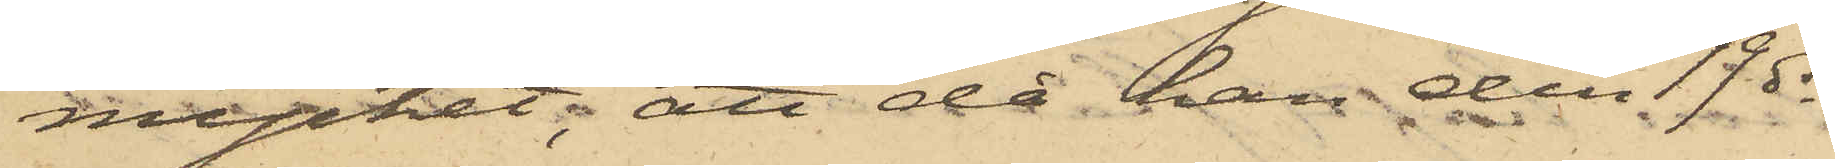mycket; att då han den 19 ds
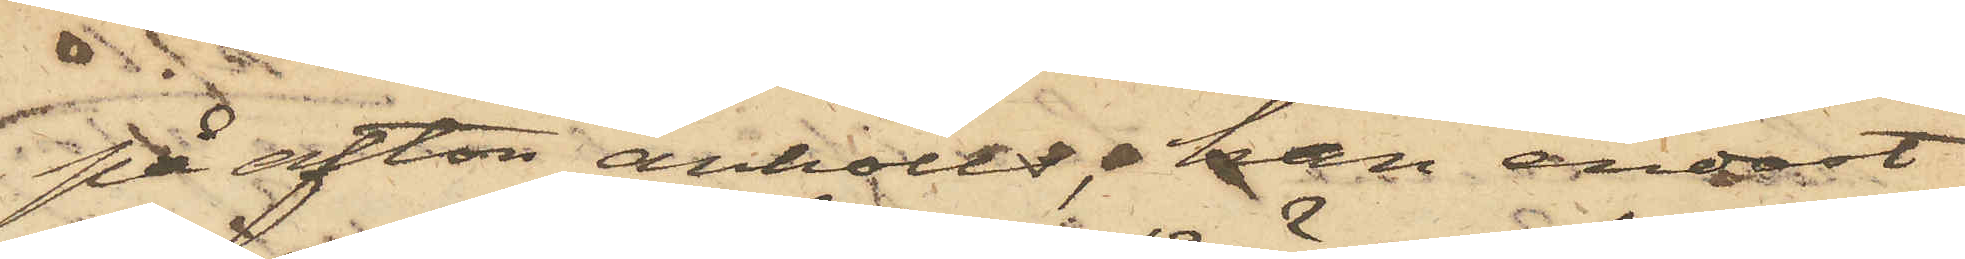på afton anhölls, han endast
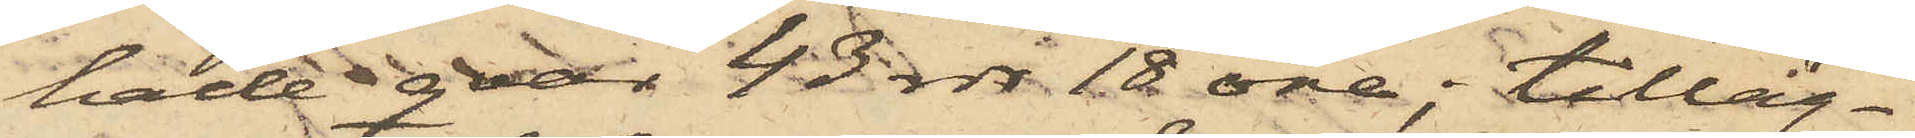hade qvar 43 rdr 18 öre; tilläg¬
